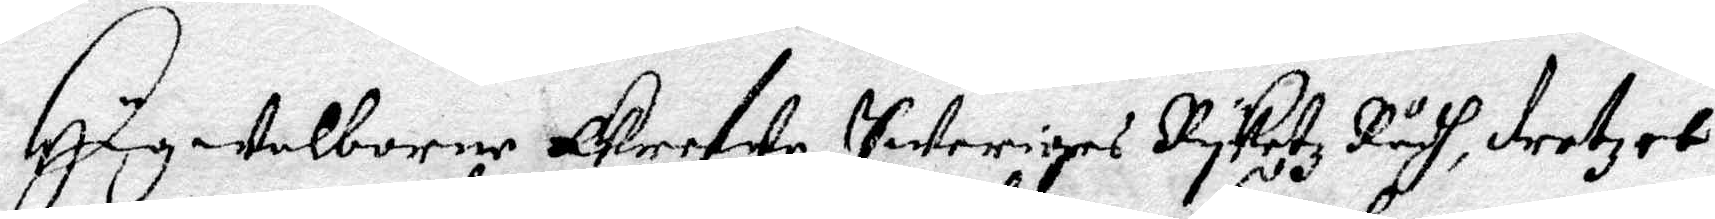Högwelborne Grefwe Sweriges Rykets Rådh, drotzet
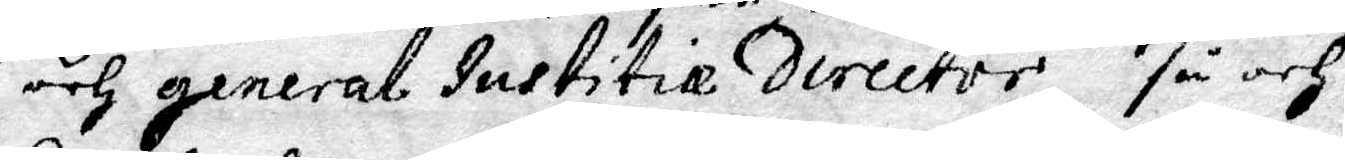och general Justitie director, så och
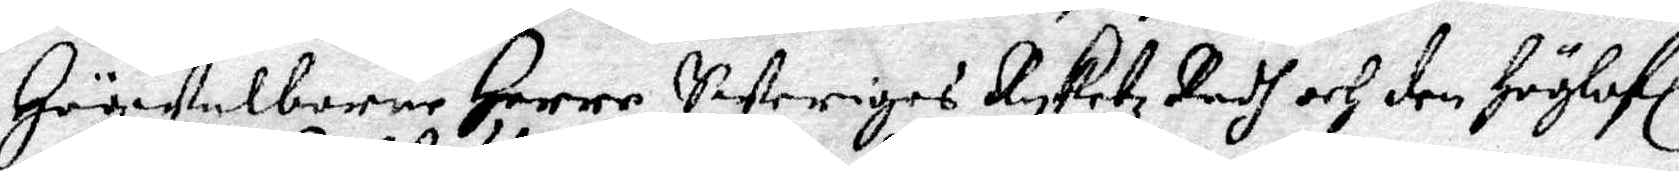Högwelborne Herre Sweriges Ryketz Rådh och den Höglofl
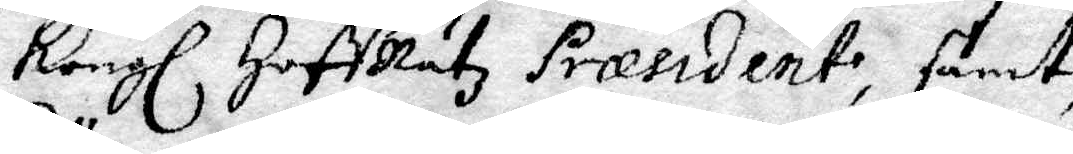Kongl HoffRätz Præsident, samt
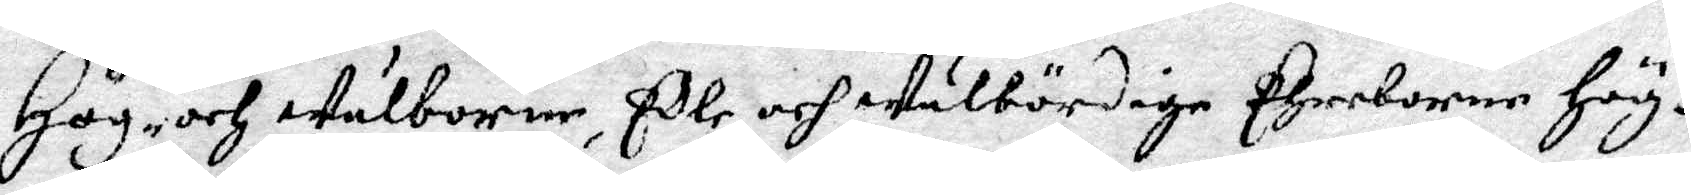Hög- och wälborne Edle och wälbördige Ehreborne Hög¬
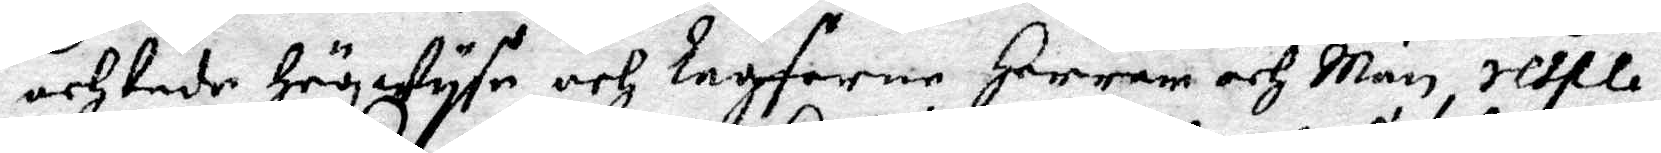achtade Högwyse och lagfarne Herrar och Män, respe¬
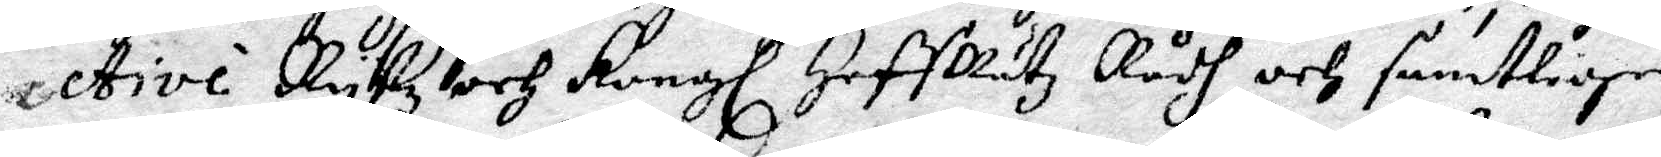ctive Rykz och Kongl HoffRätz Rådh och samtlige
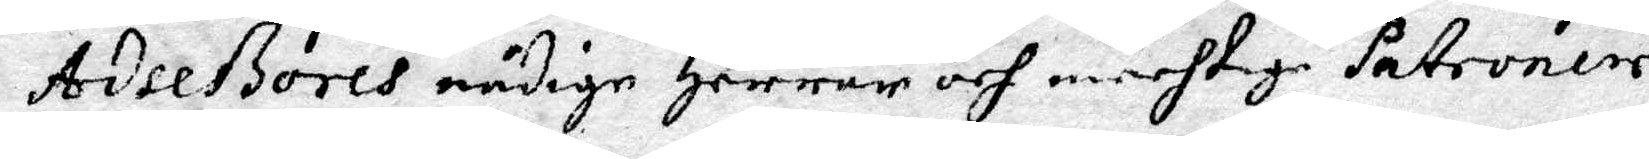Adseßores nådige Herrar och mechtige Patroner.
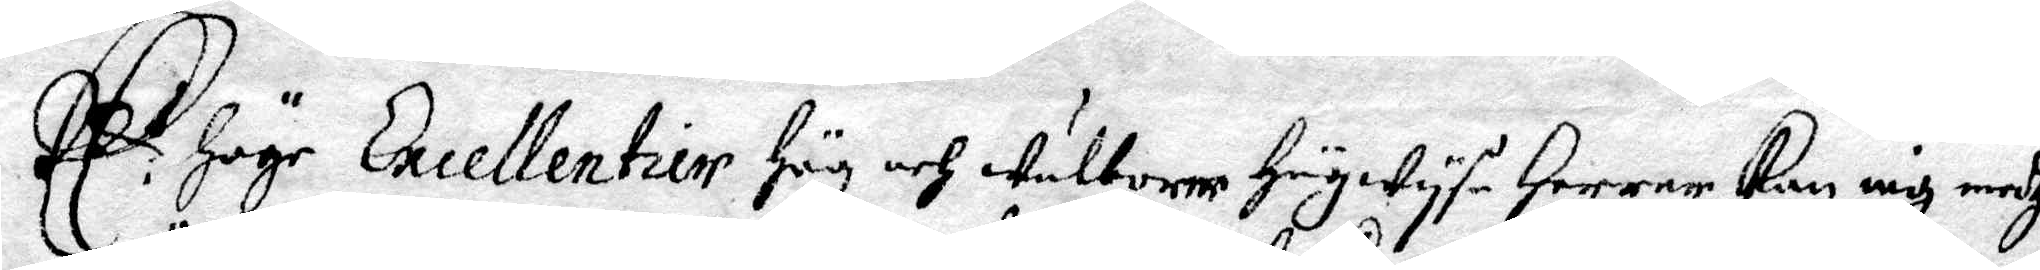EE.s Höge Excellentier Hög och wälborne Högwyse Herrar kan iag medh
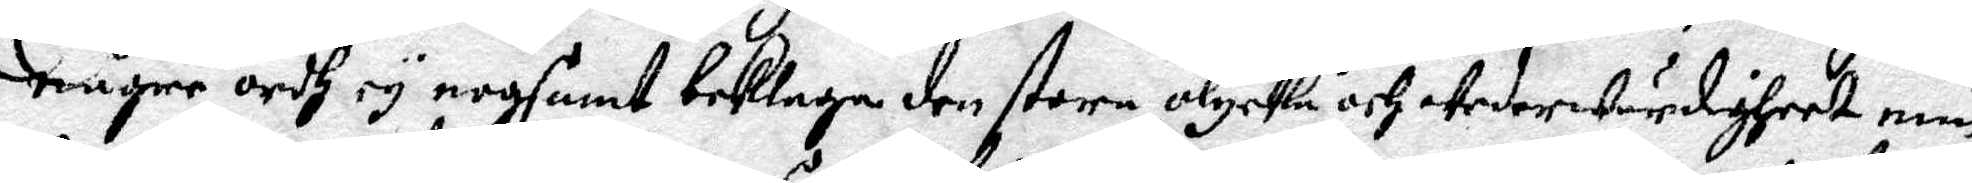någre ordh ey nogsamt beklage den store olycka och wederwärdigheet min
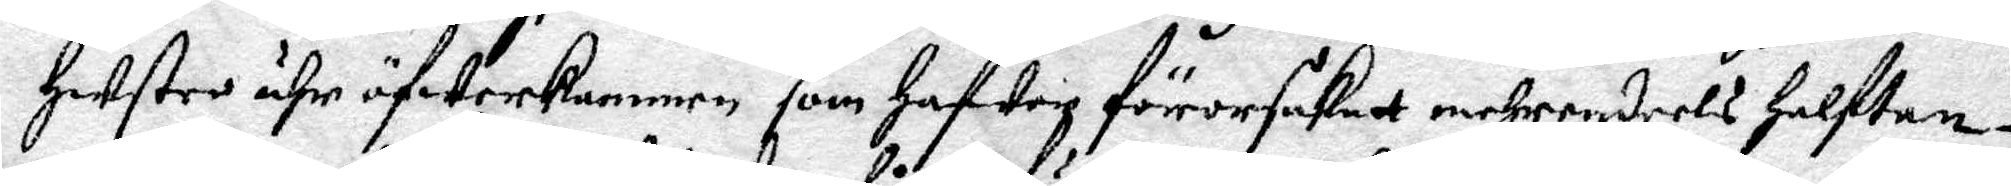Hustro ähr öfwerkommen som Hafwer förorsakatt mehrendeels Halftan¬
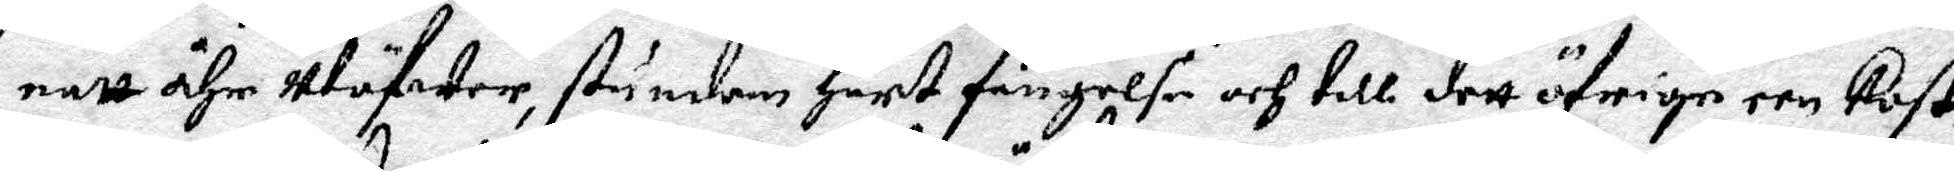natt åhr utöfwer, stundom Hårt fängelse och till dett öfrige een Kost¬
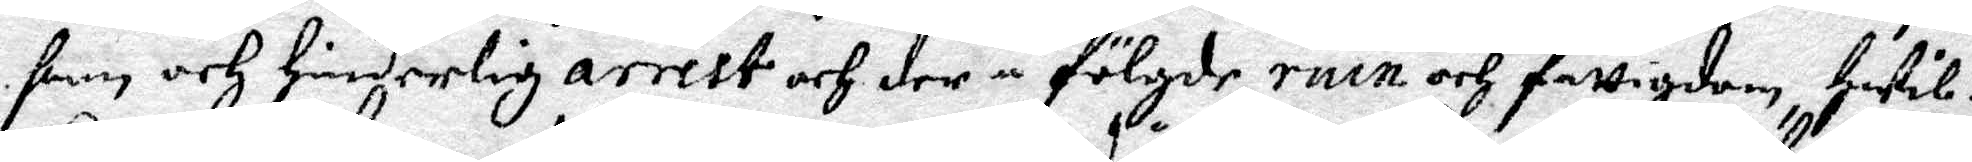sam och hinderlig arrest och der å fölgde ruin och fattigdom, Hwil¬
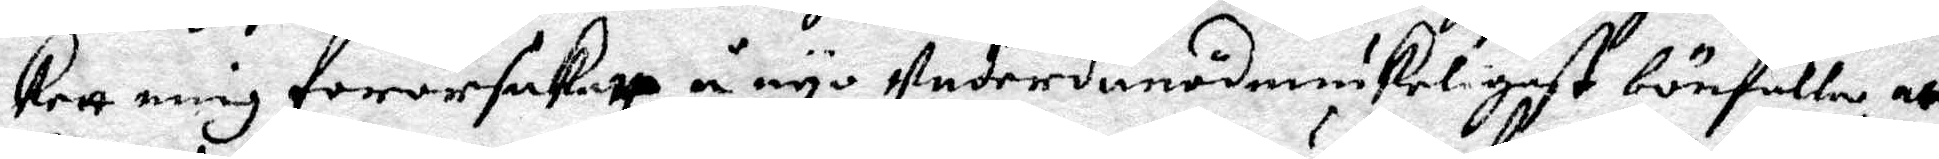kett mig fororsakatt å nyo underdånödmiukeligast bönfalla, att
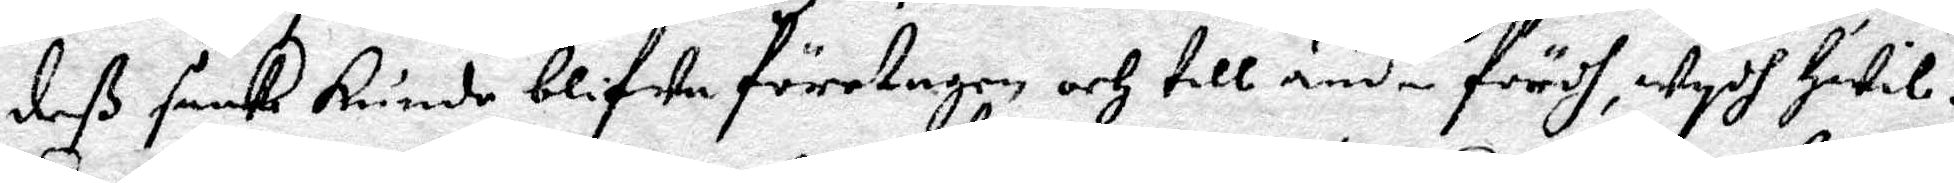deß saak kunde blifwa företagen och till ända fördh, wydh Hwil¬
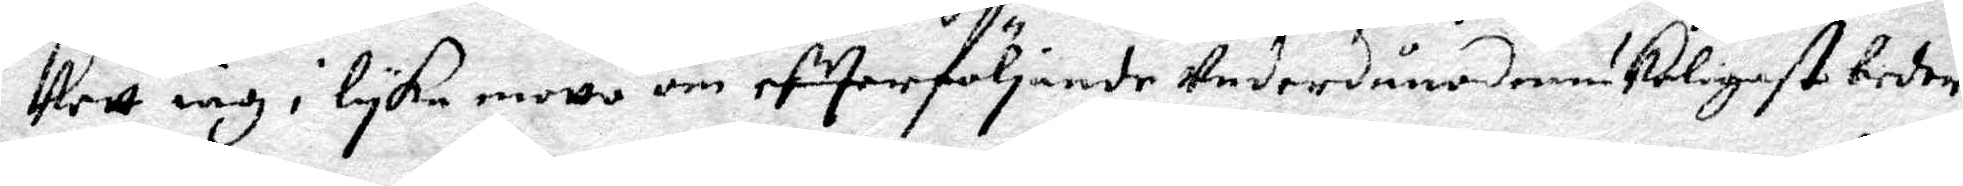kett iag i lyka motto om efterföljande underdånödmiukeligast beder.
